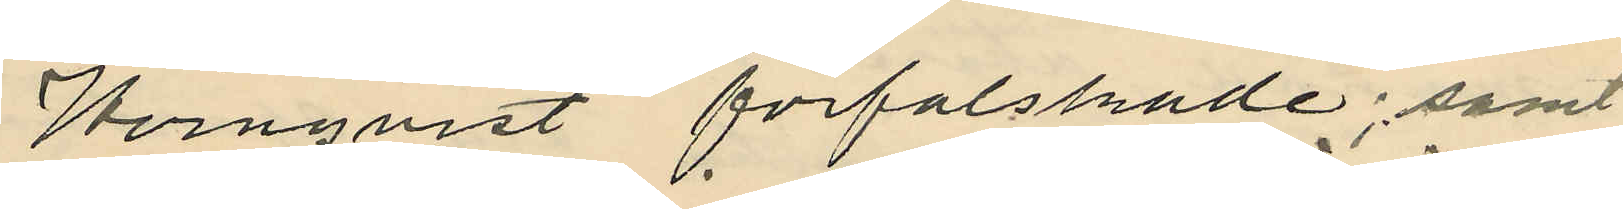Hernqvist förfalskade; samt
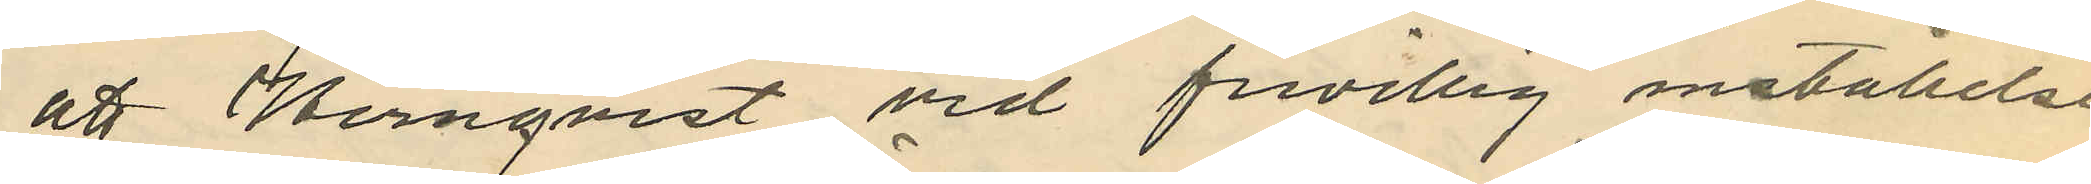att Hernqvist vid frivillig inställelse
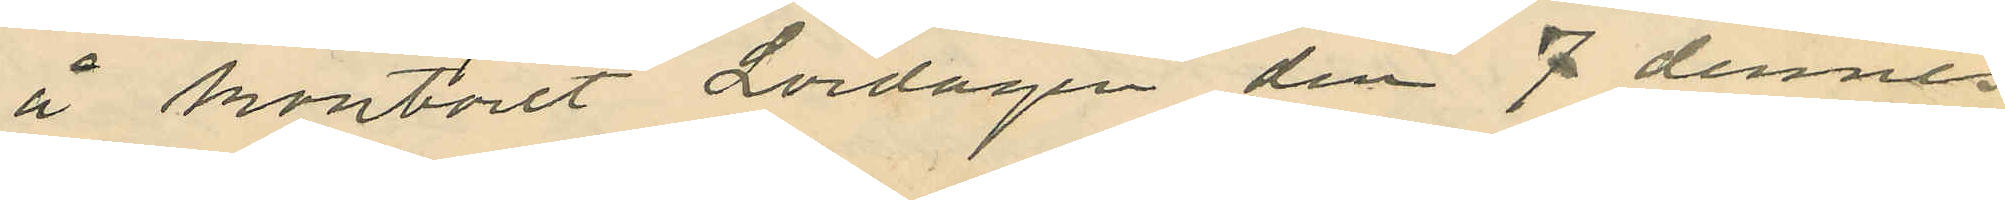å kontoret Lördagen den 7 dennes
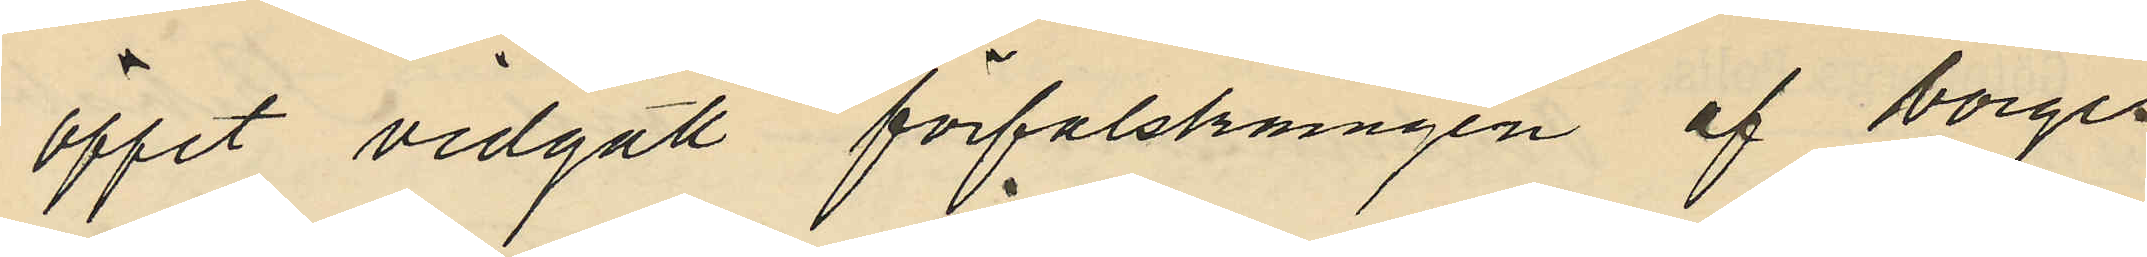öppet vidgått förfalskningen af Borges¬
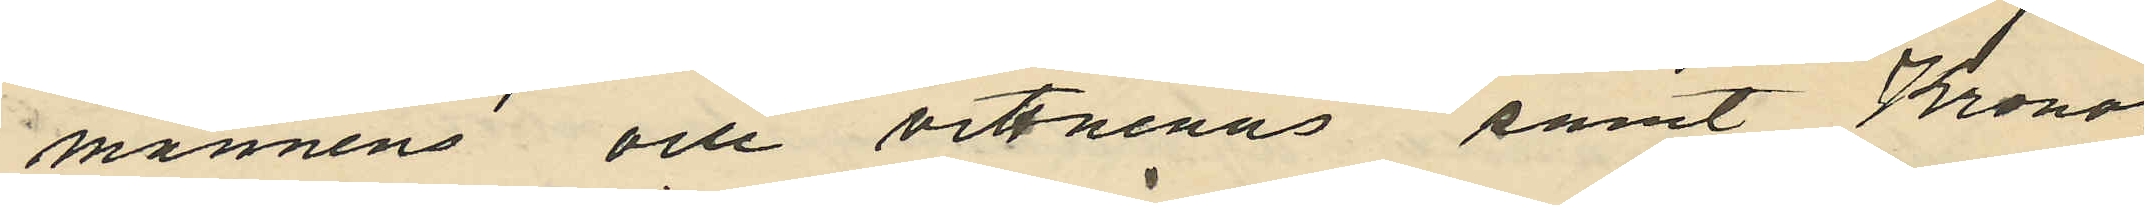männens och vittnenas samt Krono¬
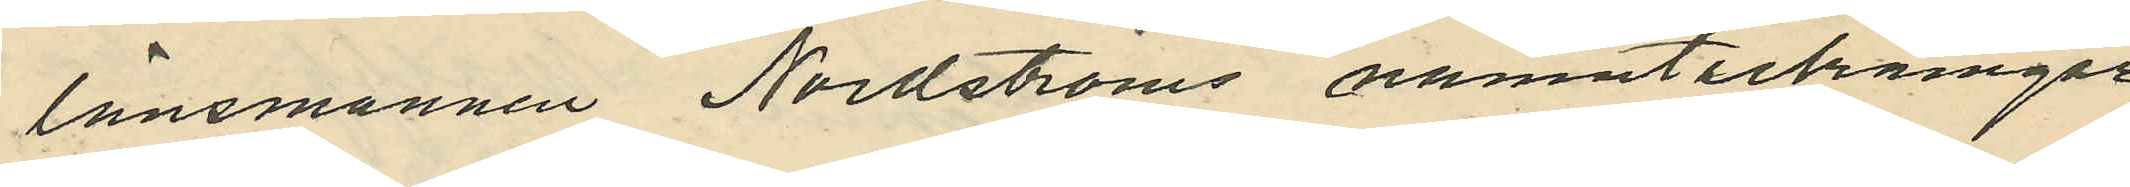länsmannen Nordströms namnteckningar;
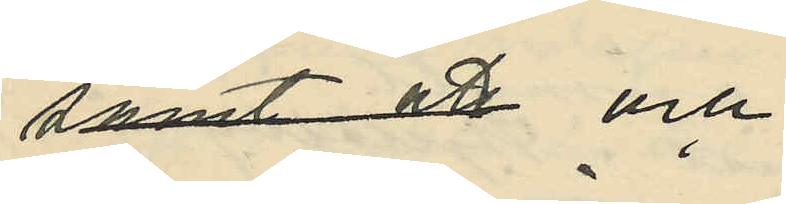samt att och
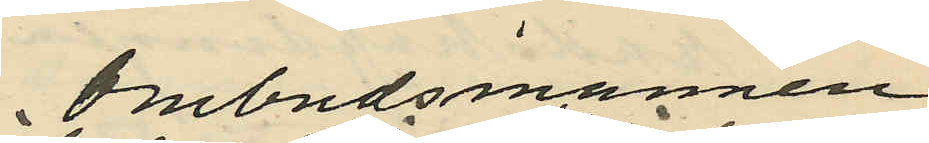Ombudsmannen
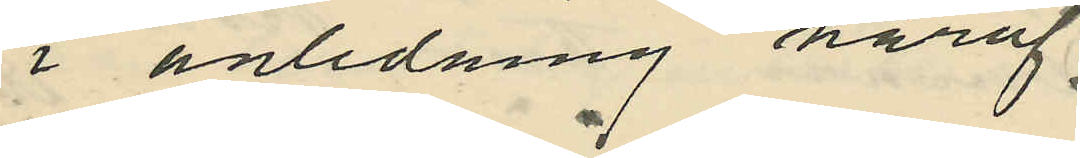i anledning häraf
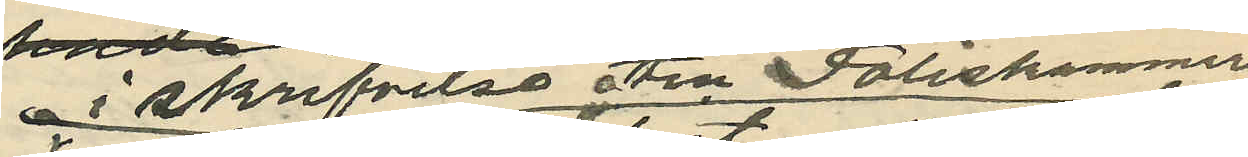i skrifvelse till Poliskammaren
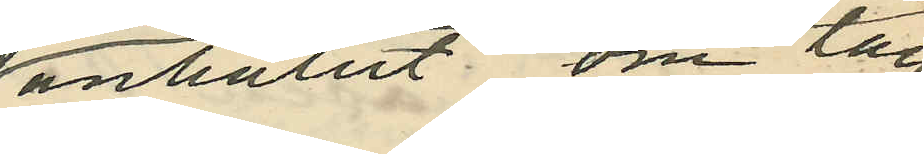anhållit om lag¬
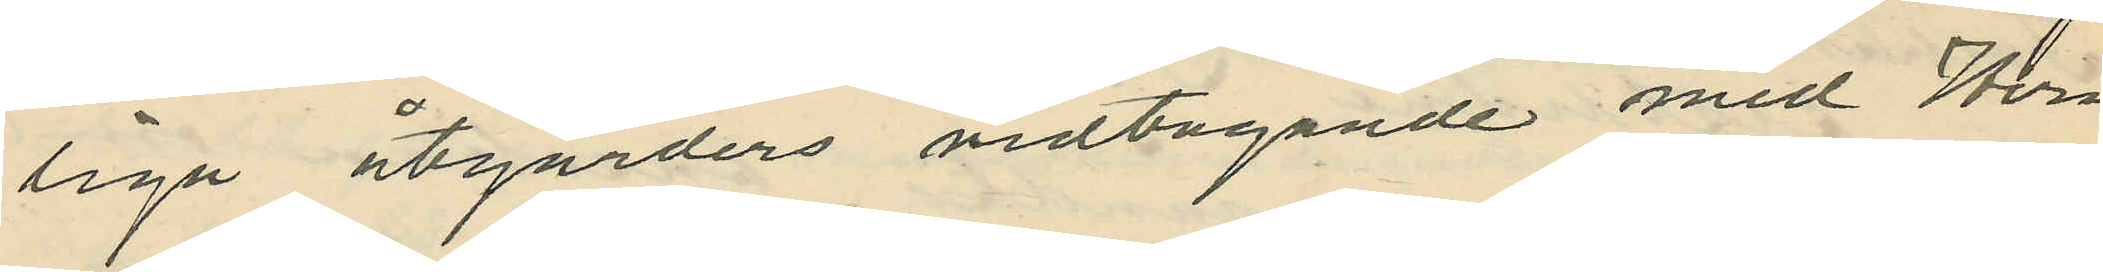liga åtgärders vidtagande med Hern¬
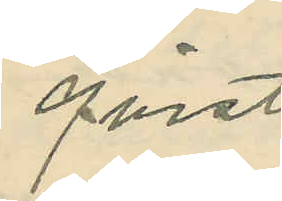qvist.
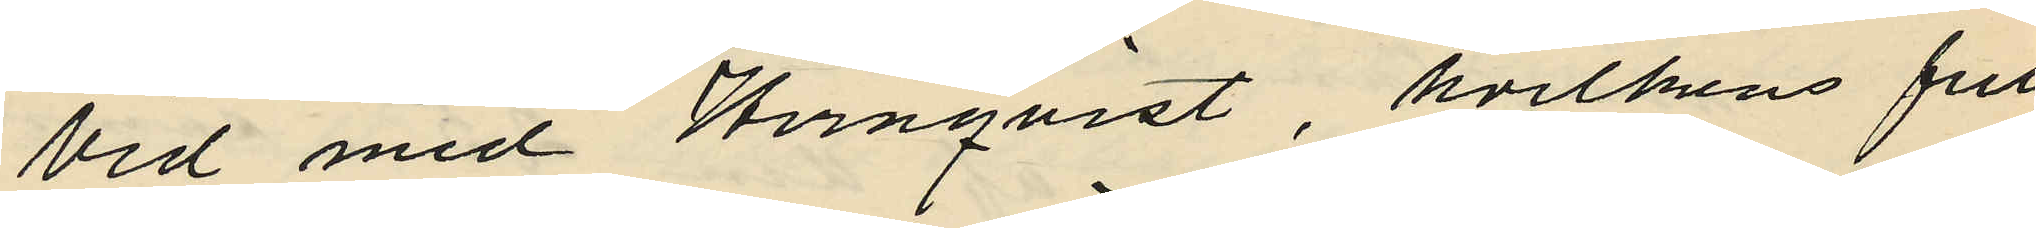Vid med Hernqvist, hvilkens full¬
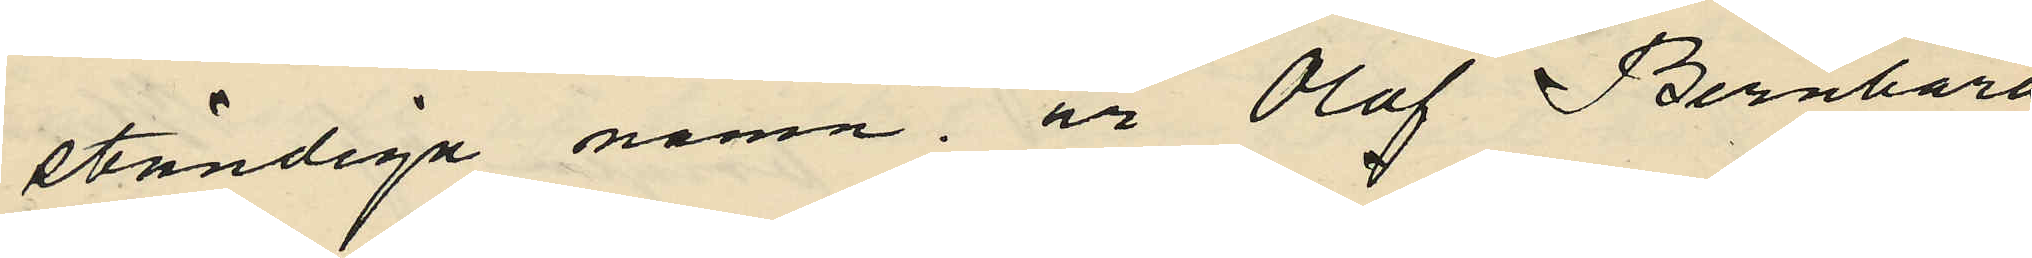ständiga namn är Olof Bernhard
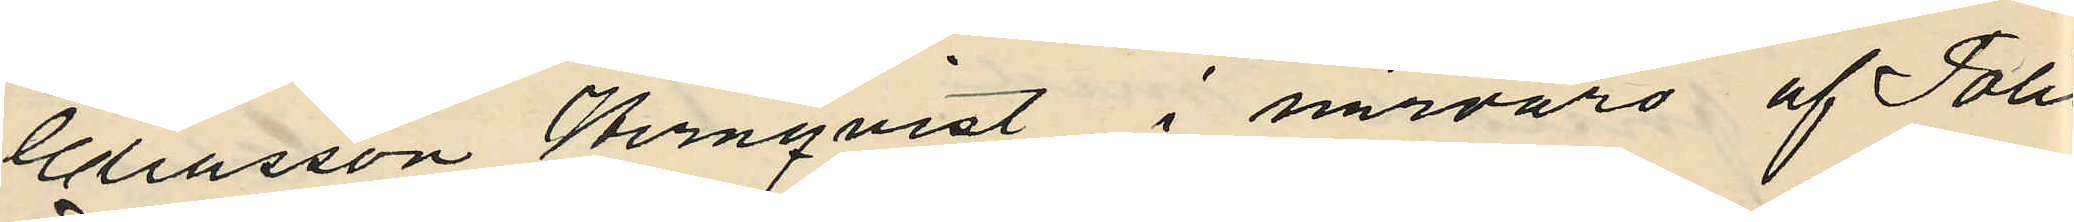Eliasson Hernqvist i närvaro af Polis¬
